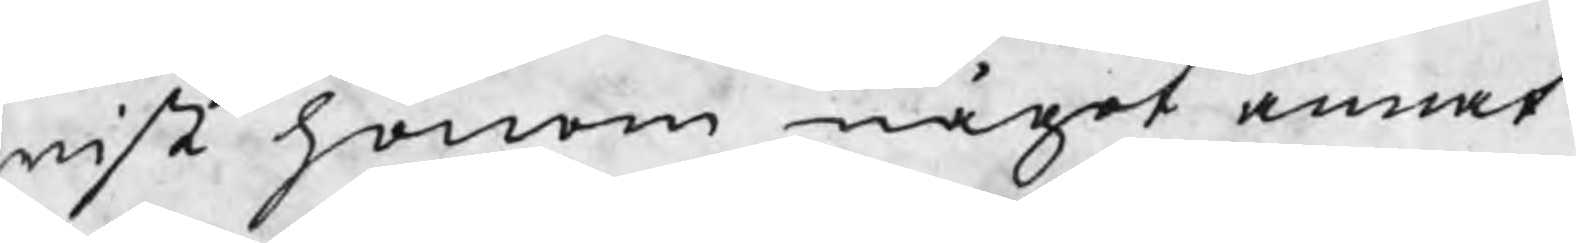wist honom något annat.
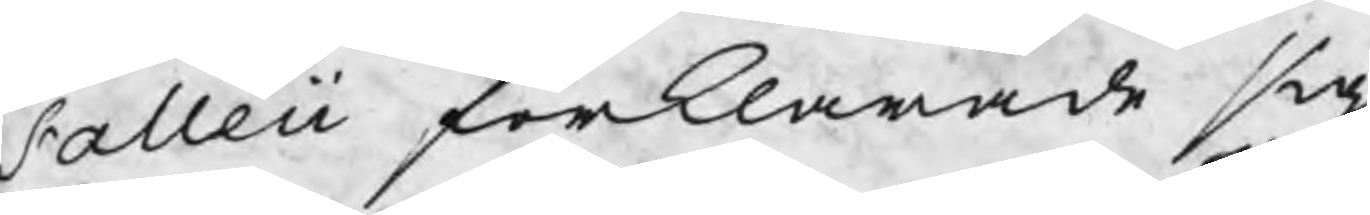Falleii förklarade sig
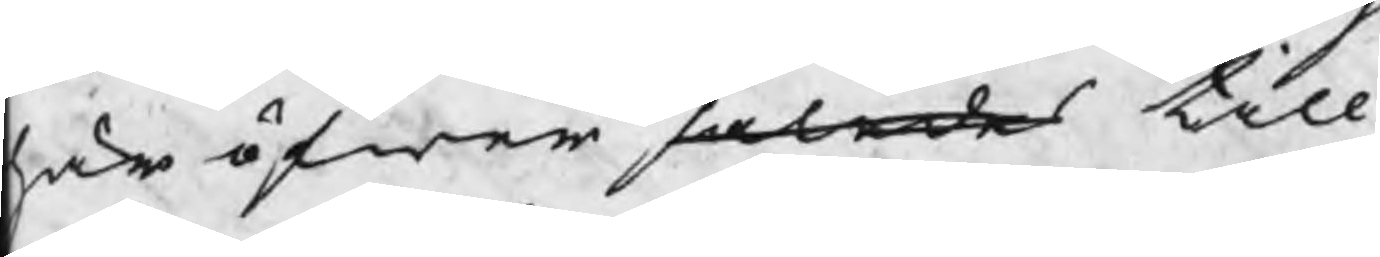här öfwer således till
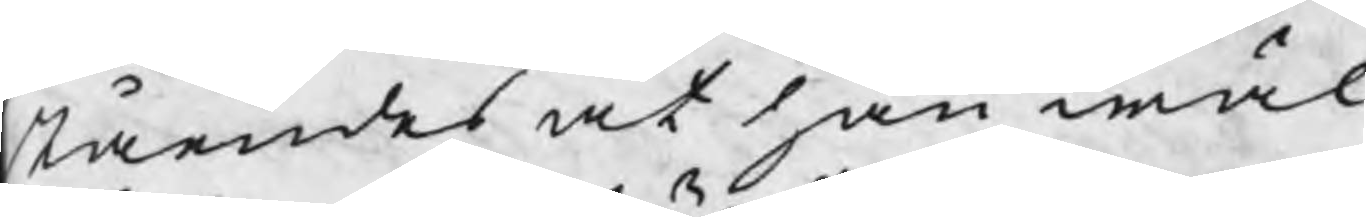ståendes at han wäl
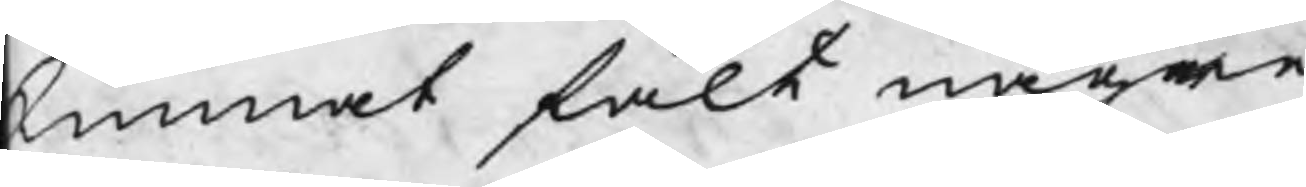kunnat fält någre
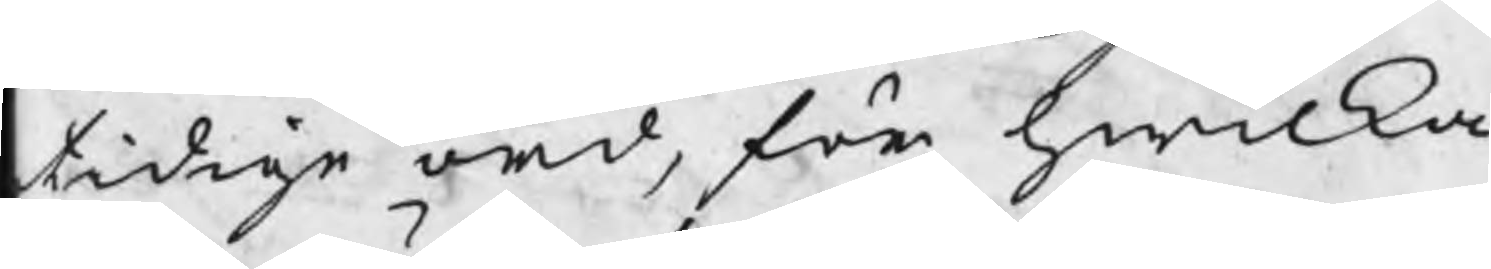tidige ord, för hwilka
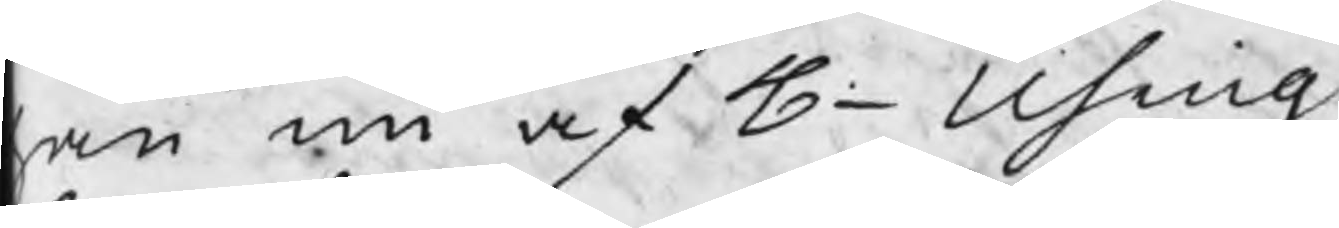han nu af H- Using
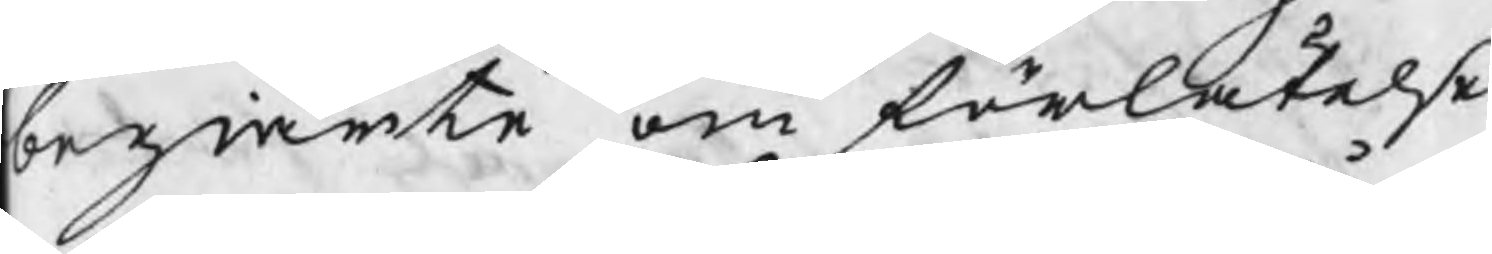begiärte om förlåtelse
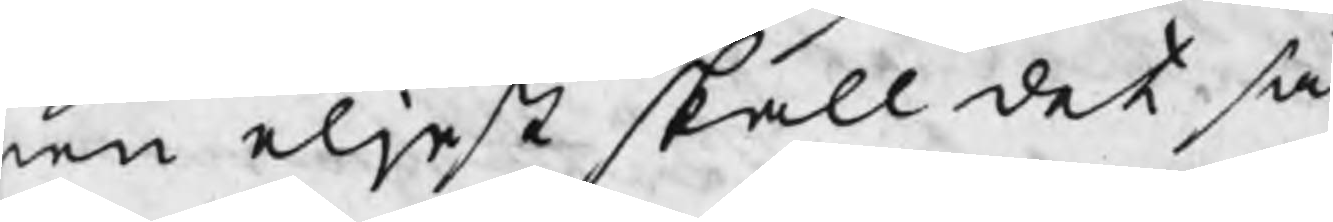men eljest skall det så
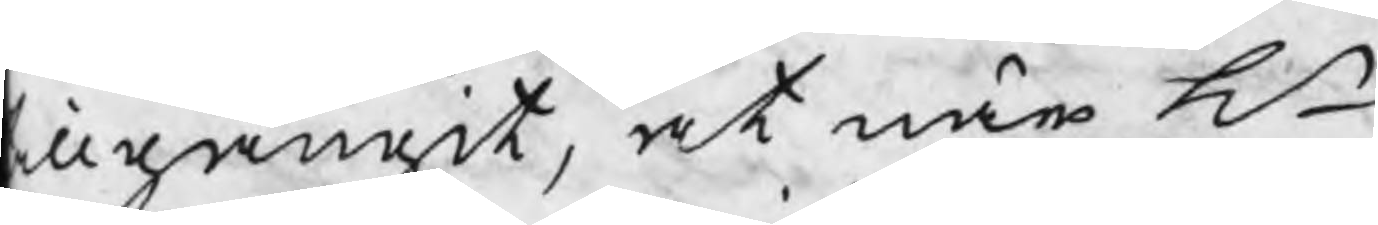illgångit, at när Hr
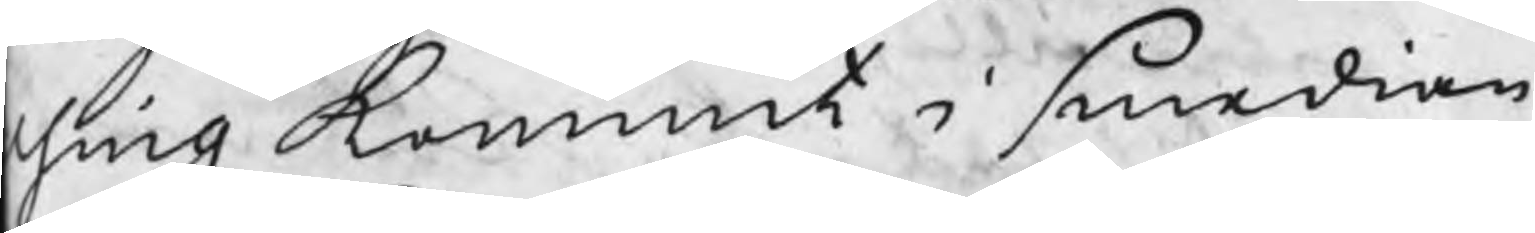sing kommit i smedian
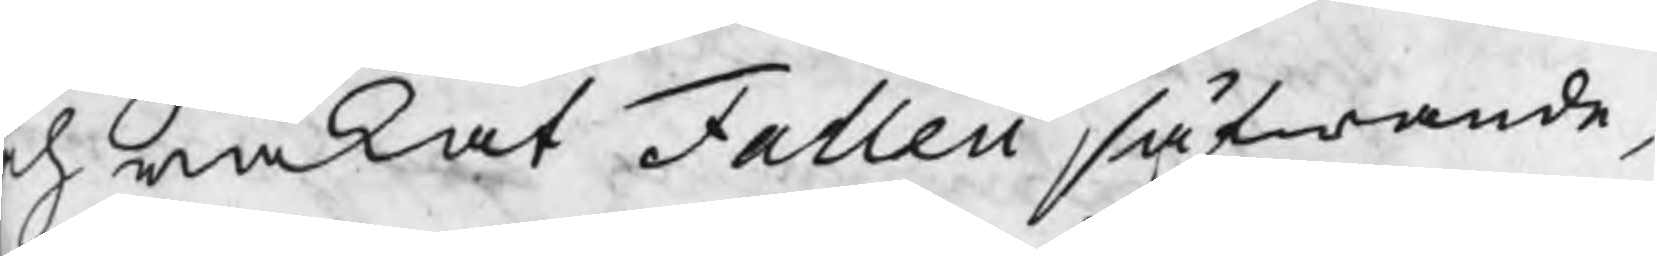ch wäkat Falleii såfwande,
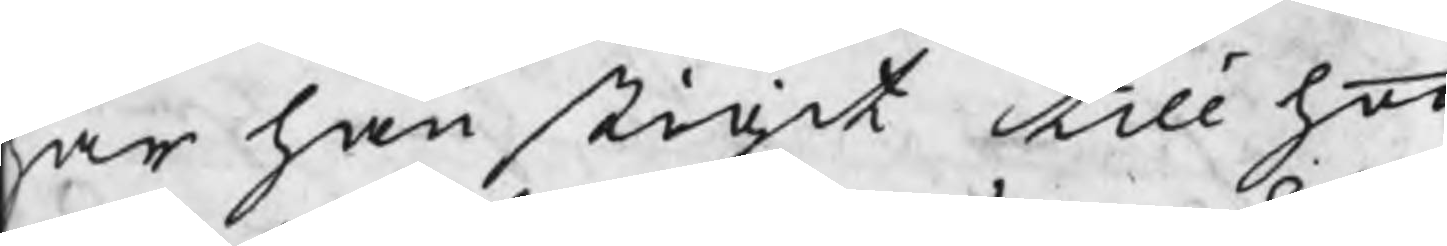har han stigit till hoo
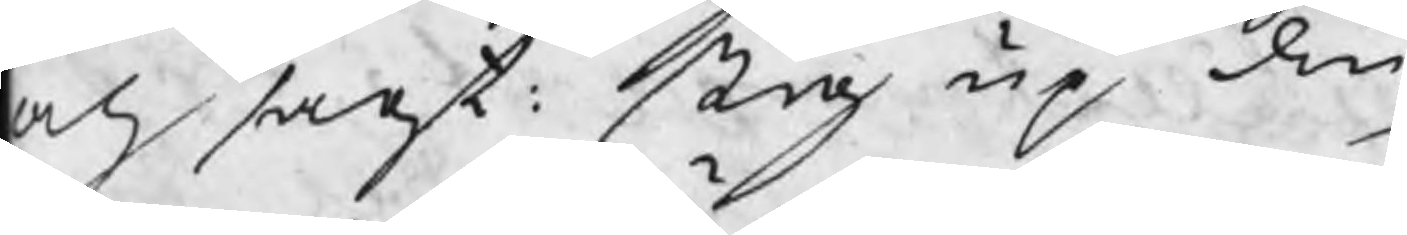och sagt: Stig up din
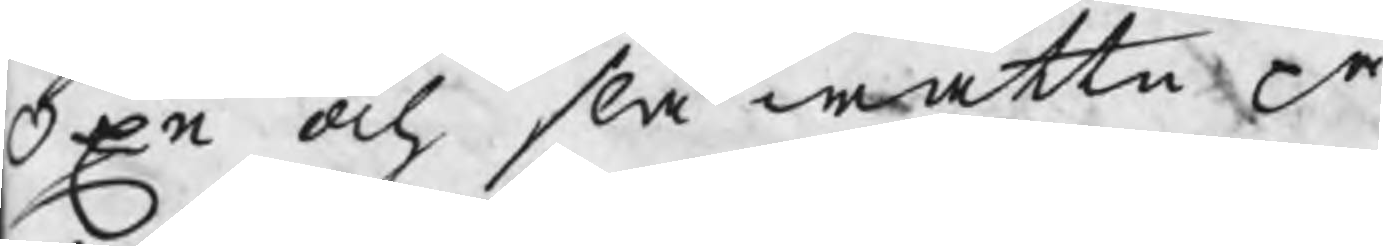Oxe och slå wattn på
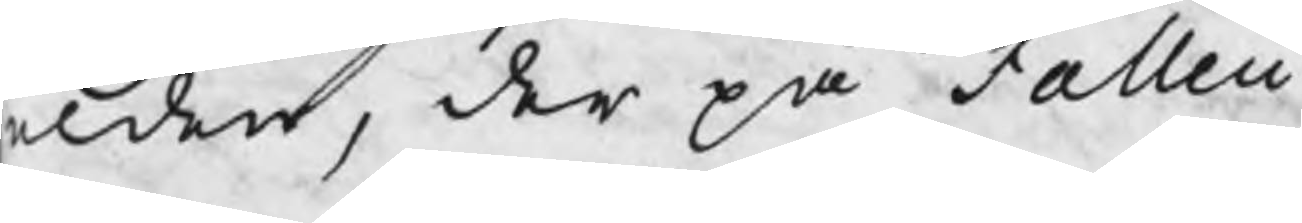elden, der på Falleii
